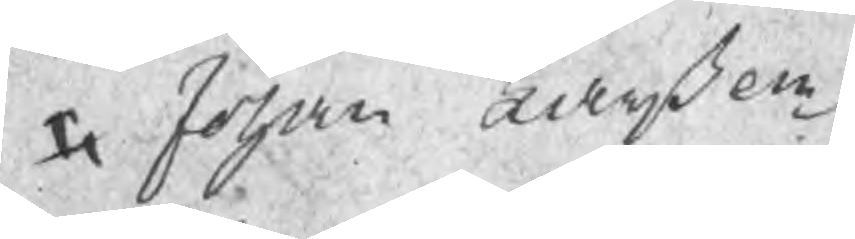Johan Larßon
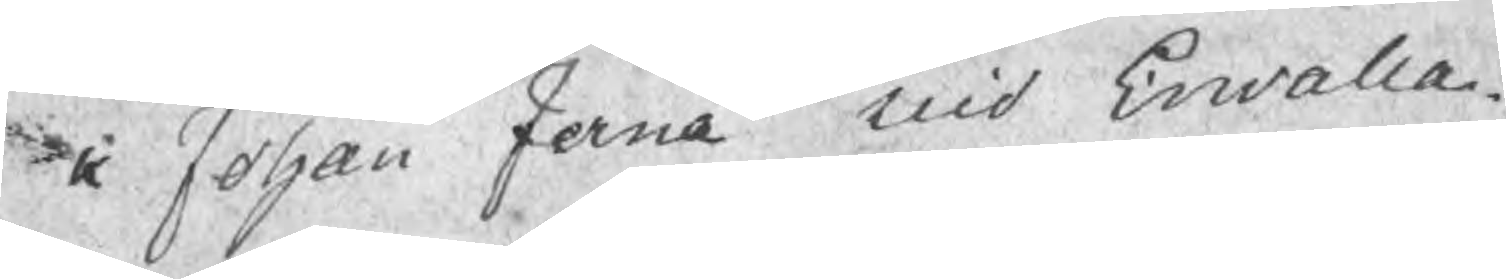Johan Ferna uid Erwalla
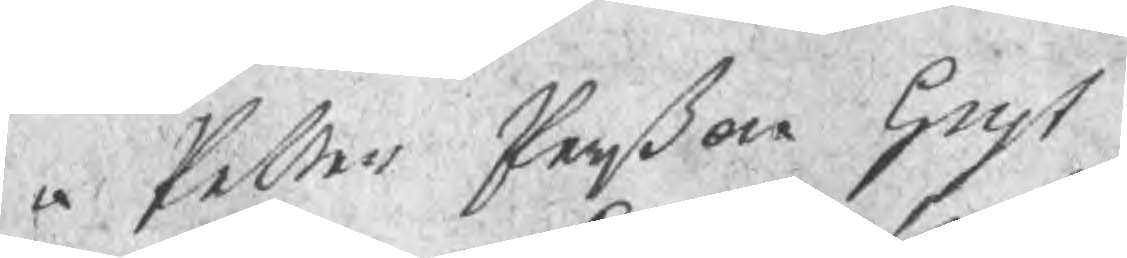Petter Perßon Gryt
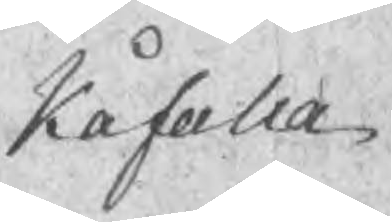Kåfalla
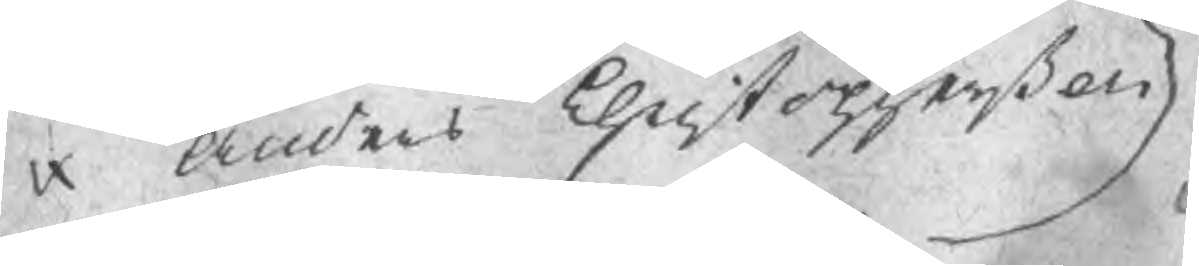Anders Christopherßon
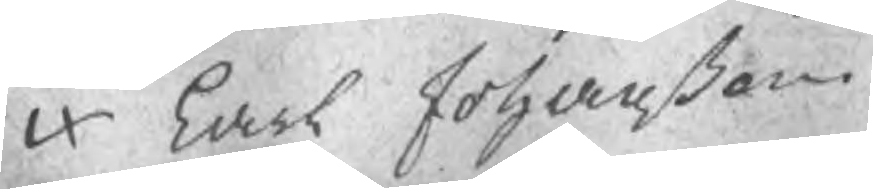Carl Johanßon
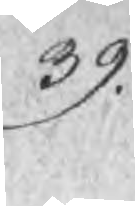39.
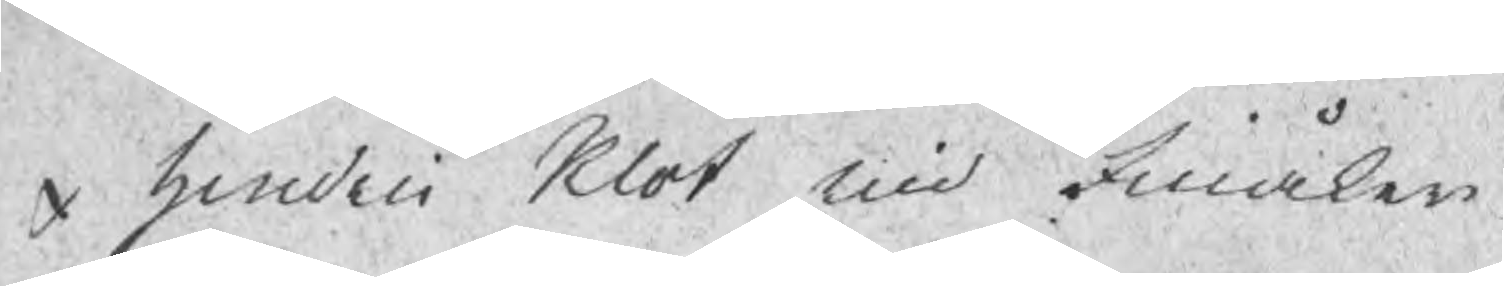Hendric Klot uid Finåker
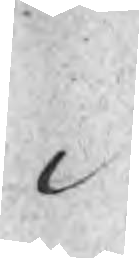v
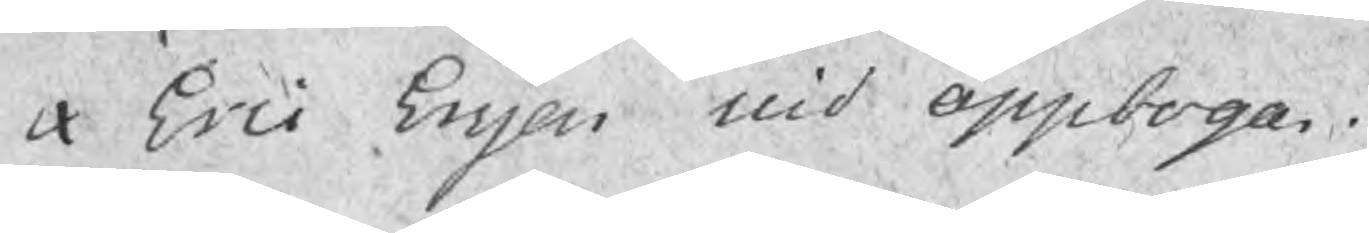Eric Ersson uid Öppboga
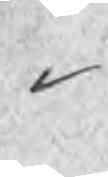v
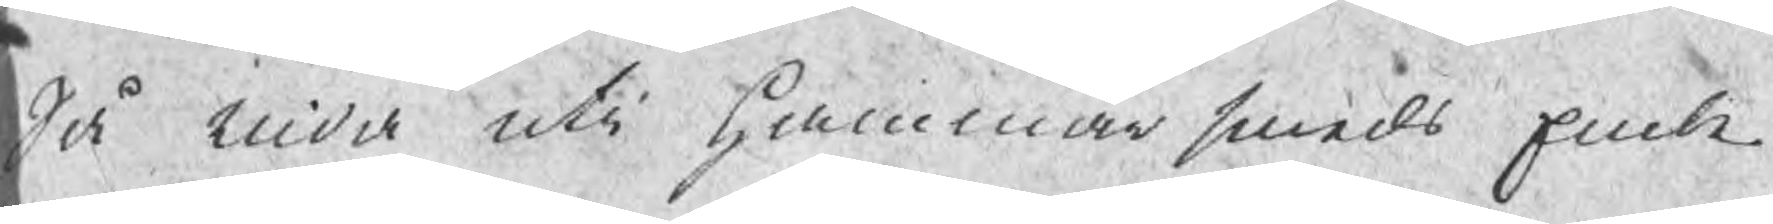Så vida uti Hammarsmeds Embe¬
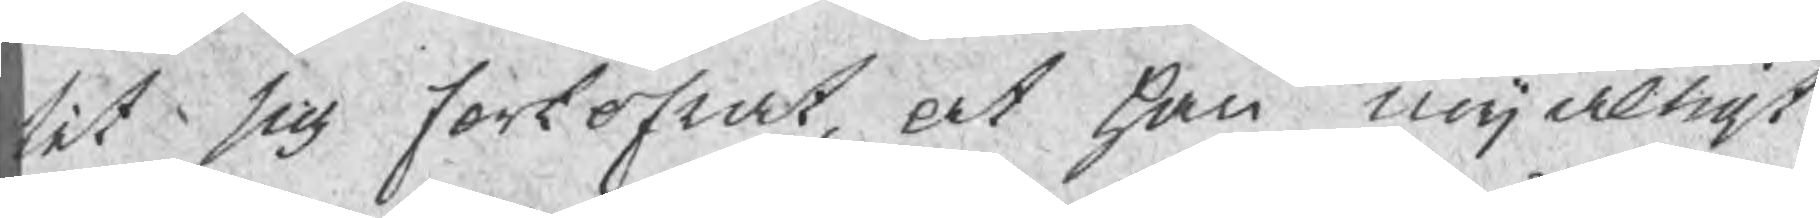tet sig forkofrat, at han nöjaktigt
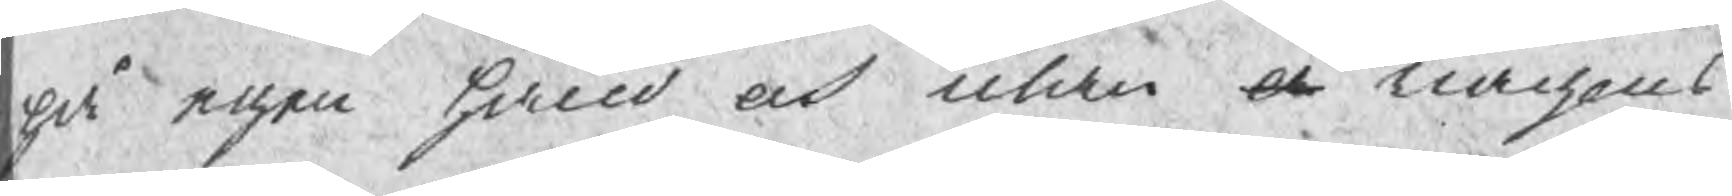på egen hand och utan a någons
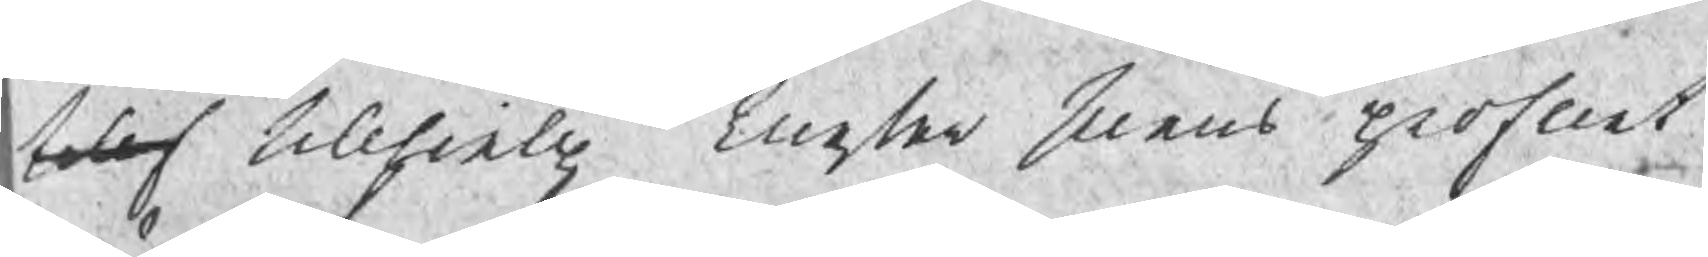teles tillhielp Mester suens profuet
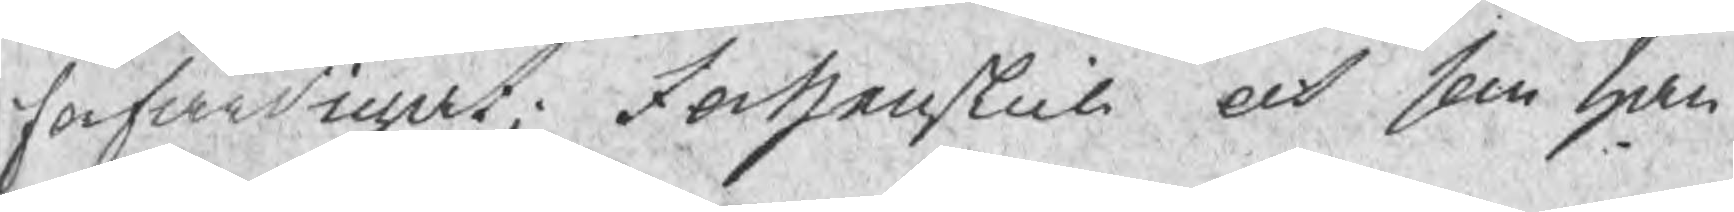förfärdigat; Forthenskull och som han
